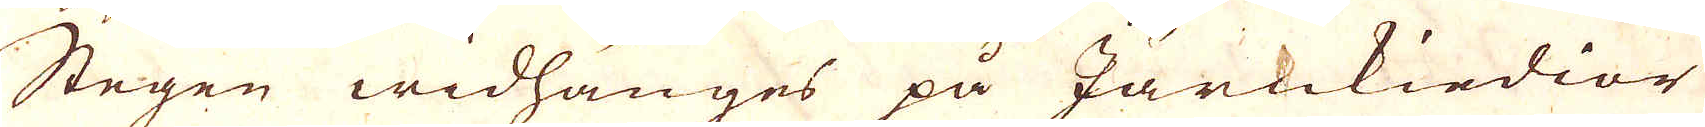Stegen widhänges på Järnkiedior
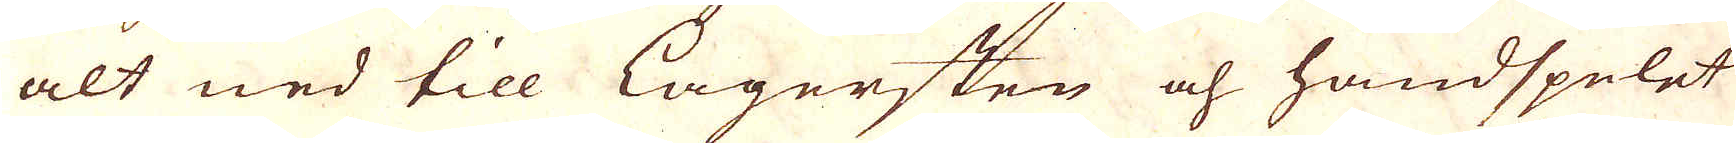alt ned till lagersten och handspelet
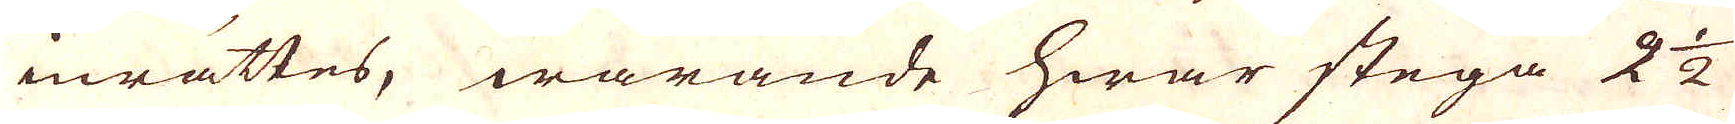inrättes, warande hwar stega 2 1/2
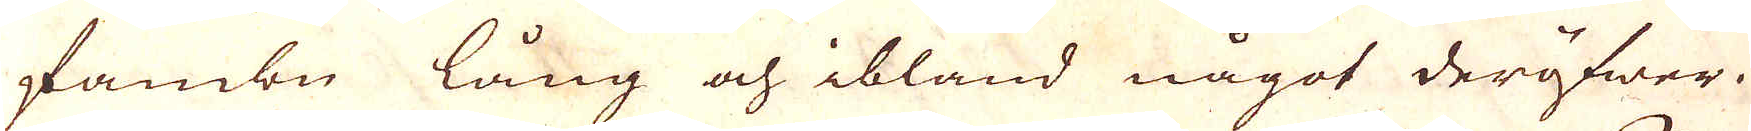fambn lång och ibland något deröfwer.
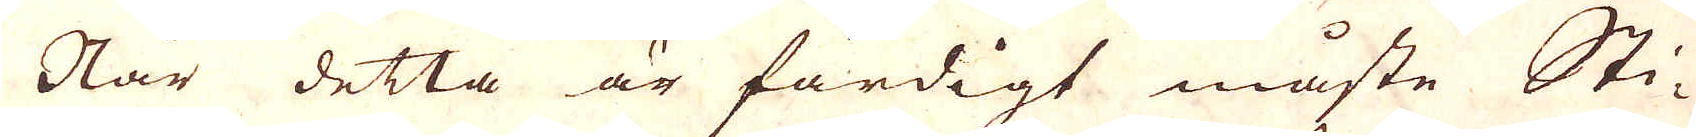När detta är färdigt måste Sti-
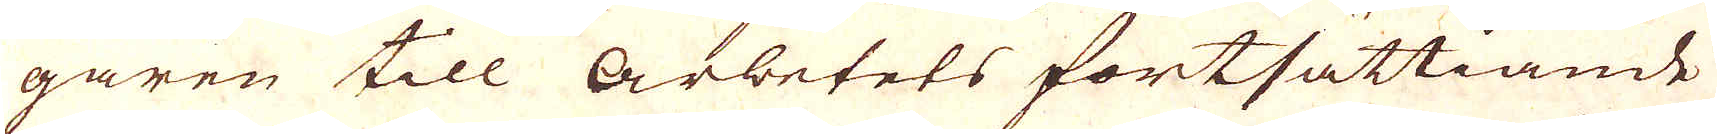garen till arbetets fortsättiande
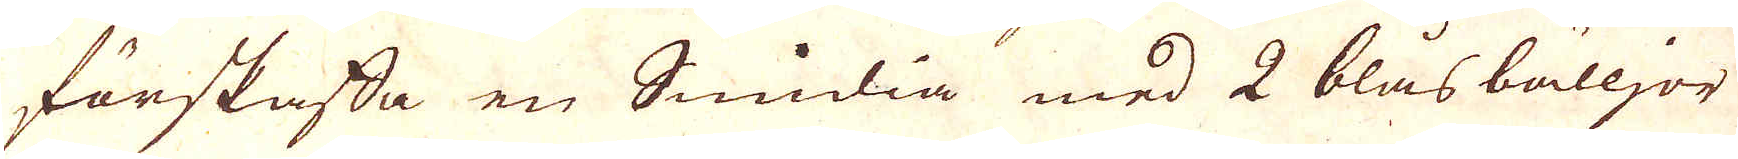förskaffa en Smidia med 2 blåsbälljor
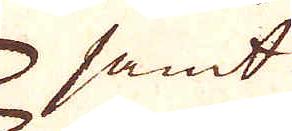samt
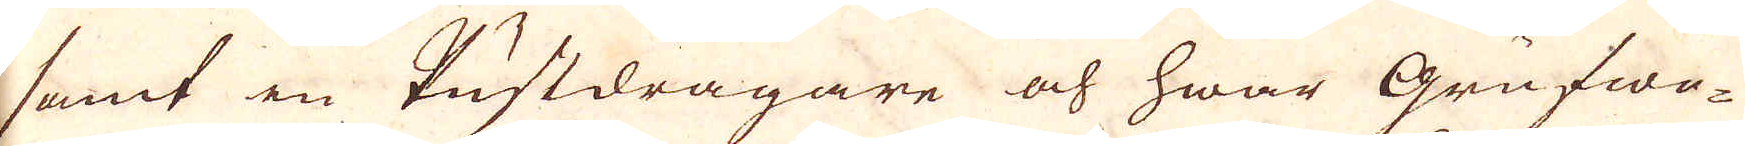samt en Pustdragare och hwar Grufwe-
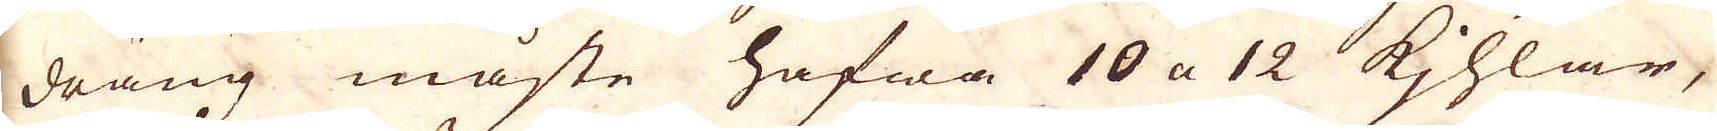dräng måste hafwa 10 a 12 Kjhlar,
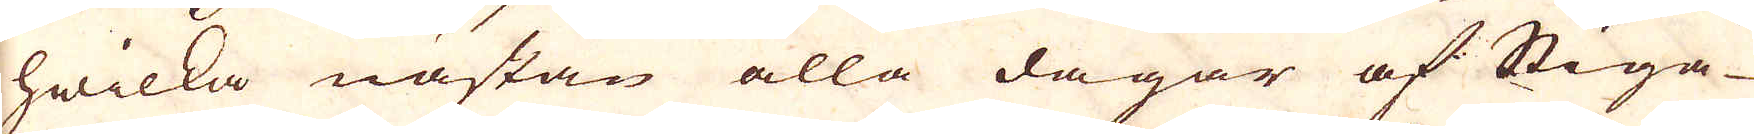hwilka nästan alla dagar af Stiga-
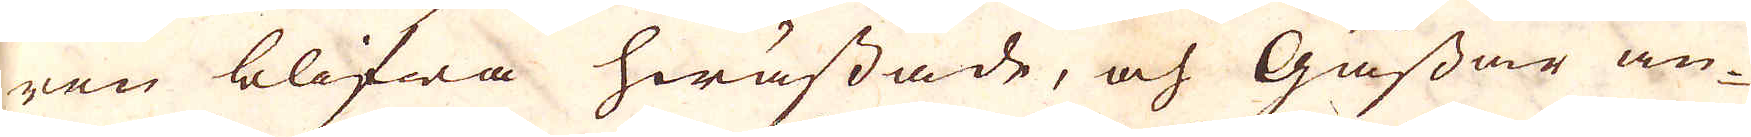ren blifwa hwässade, och Gåssar an-
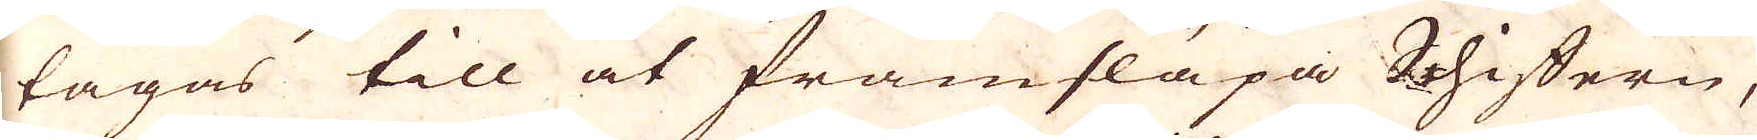tagas till at framsläpa Shiffern,
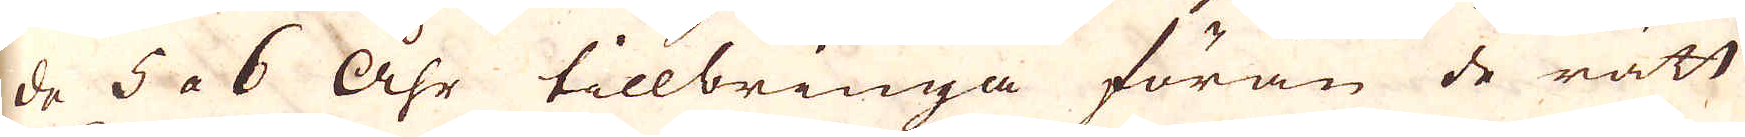de 5 a 6 Åhr tillbringa förän de rätt
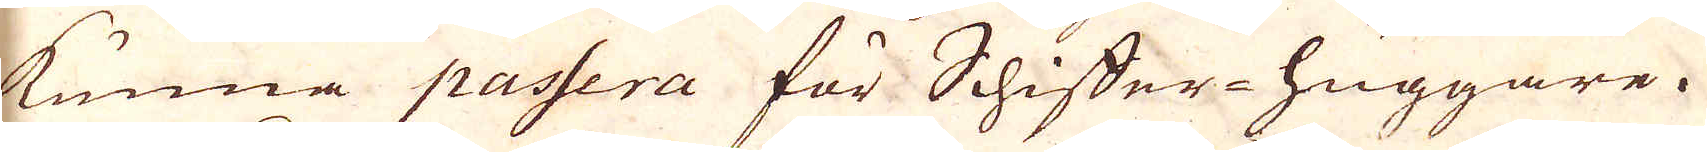kunna passera för Schiffer-huggare.
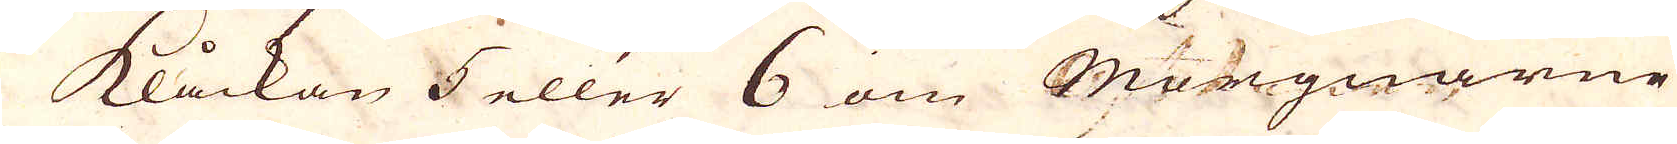Klåckan 5 eller 6 om Morgnarne
